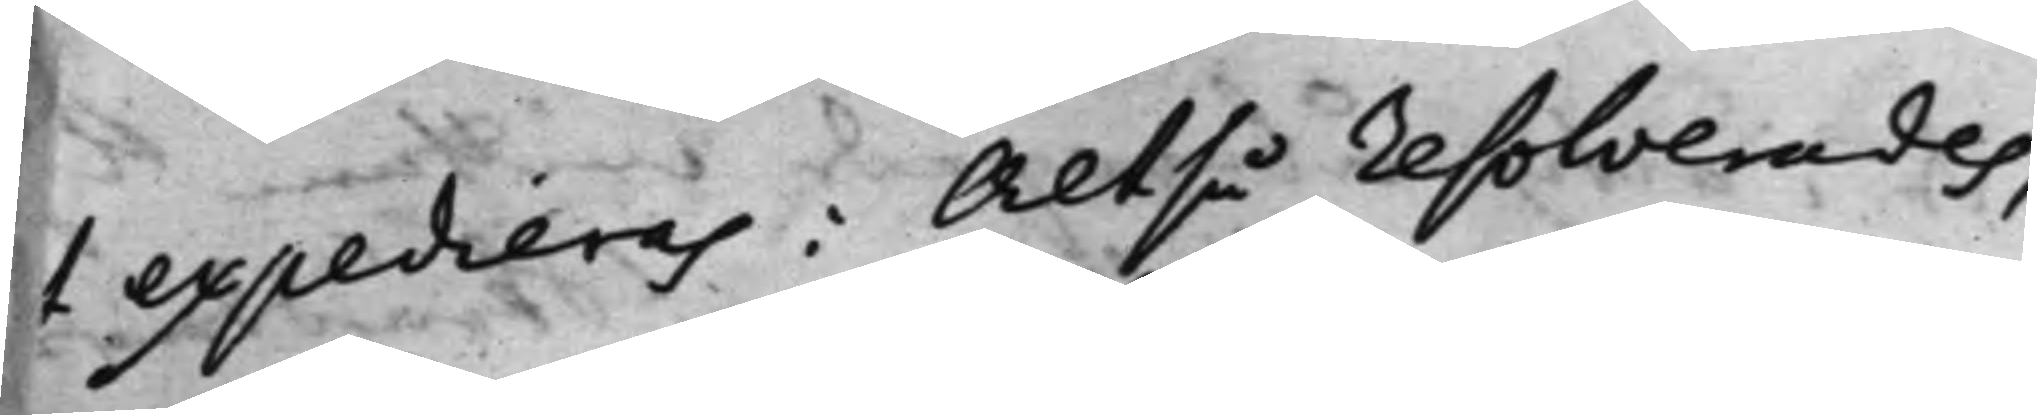t expedieras: Altså resolverades,
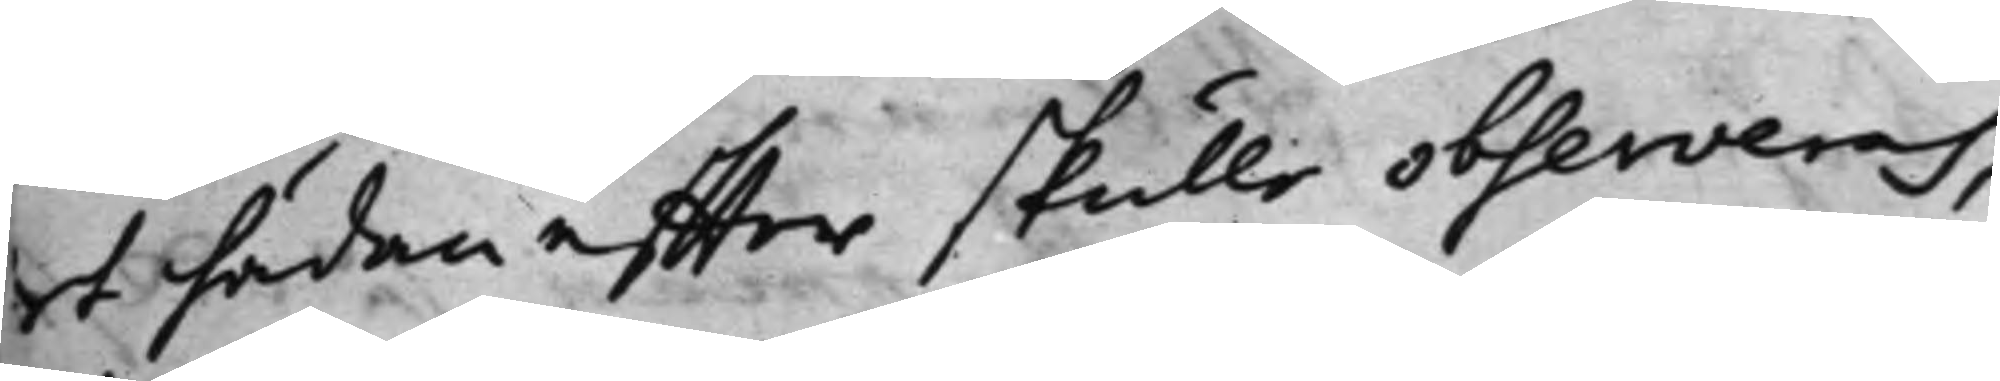et hädan effter skulle observeras,
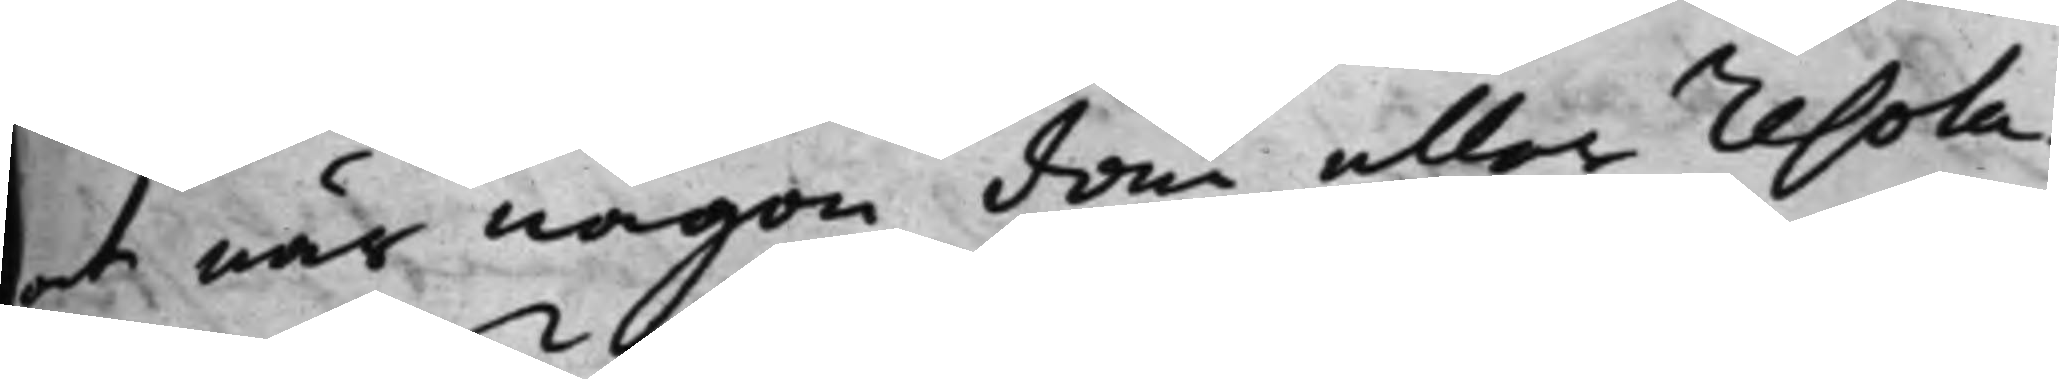at när någon dom eller resolu¬
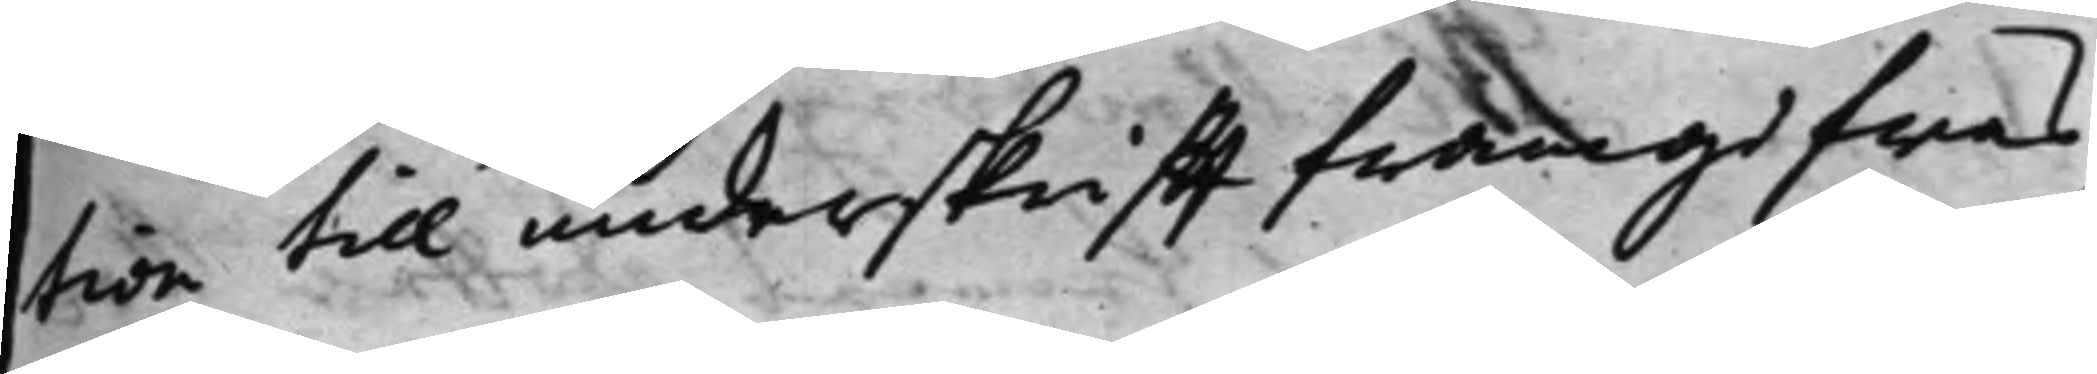tion till underskrifft framgifwas,
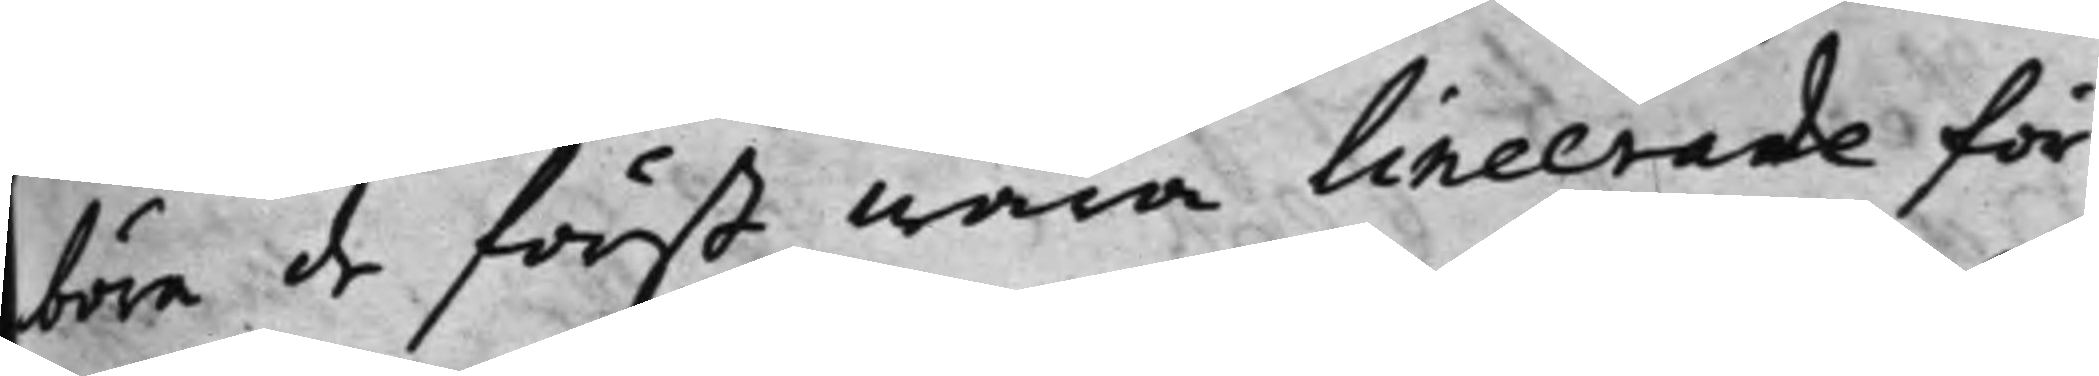bära de först wara lineerade för
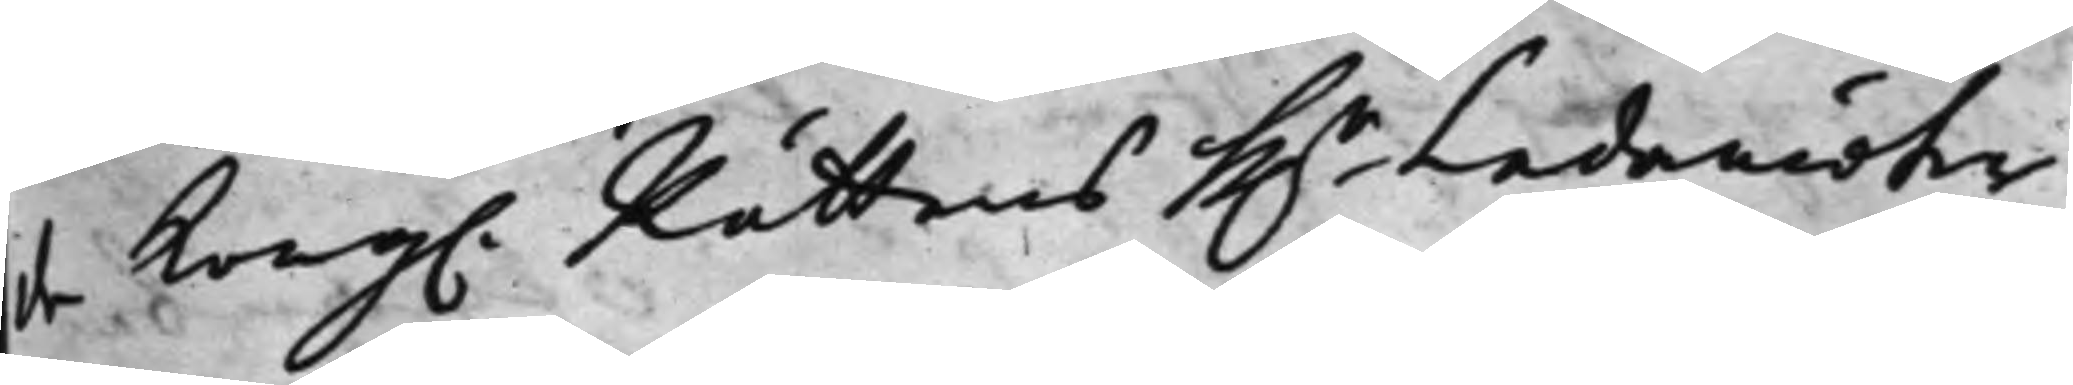de Kong. Rättens Hr Ledamöter
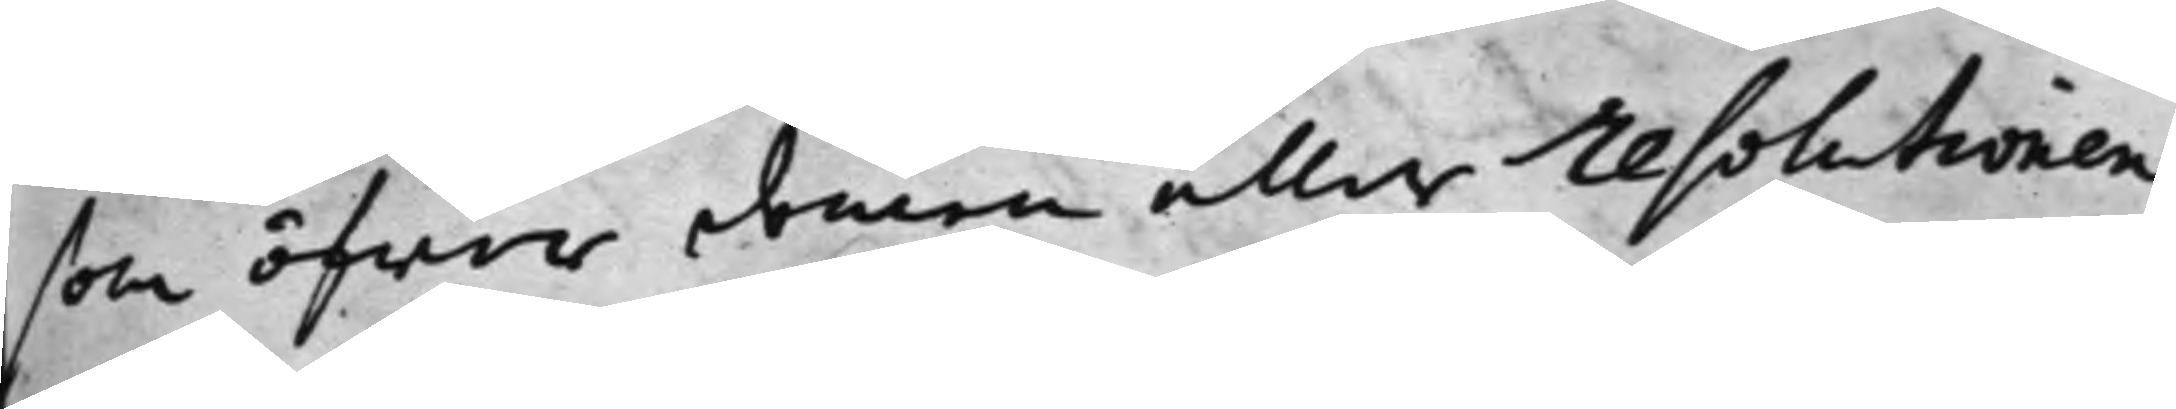som öfwer domen eller resolutionen
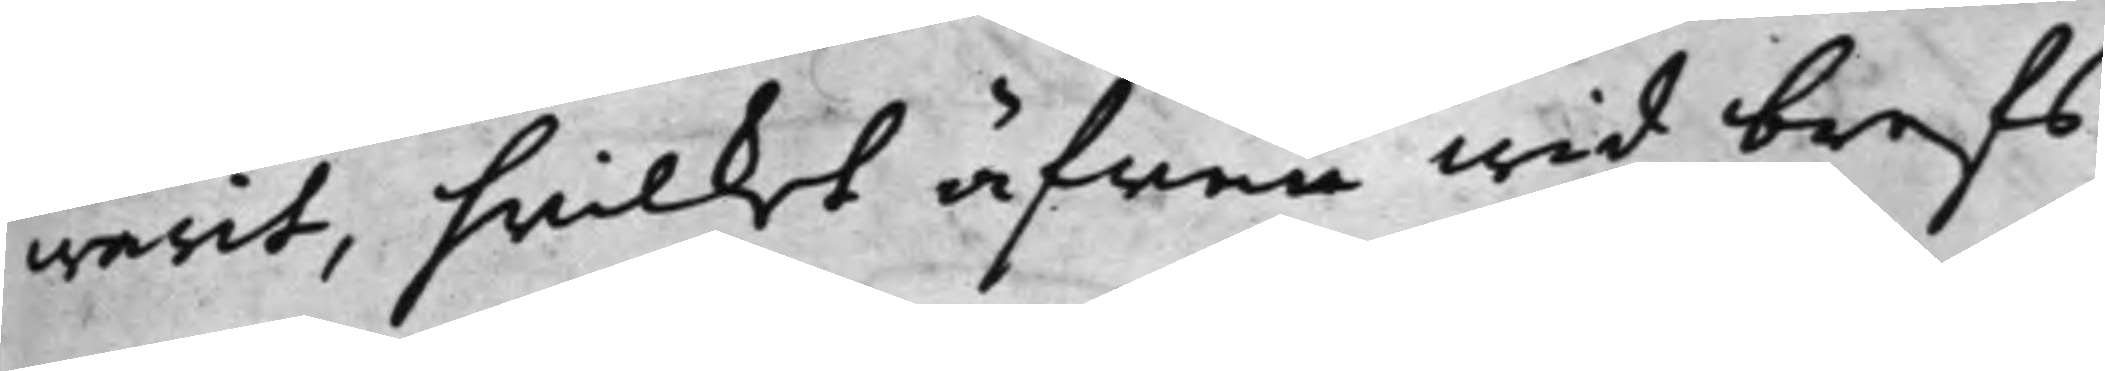warit, hwilket äfwen wid brefs
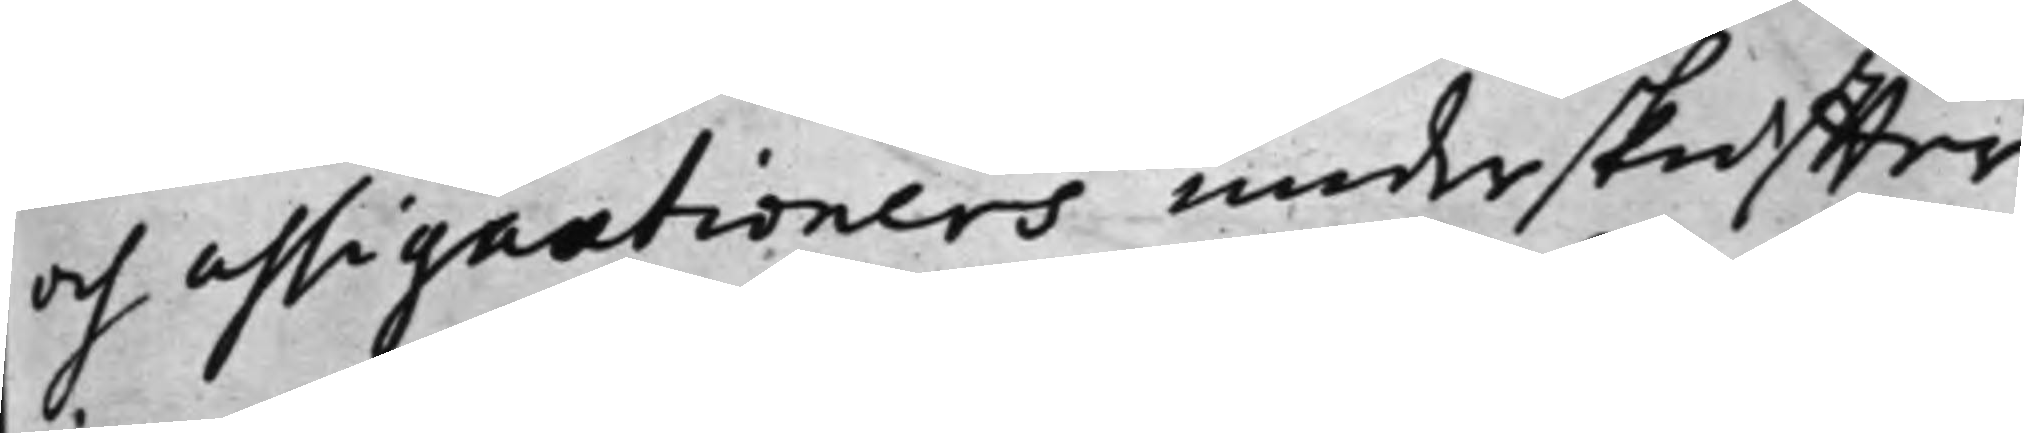och assignationers underskiffter
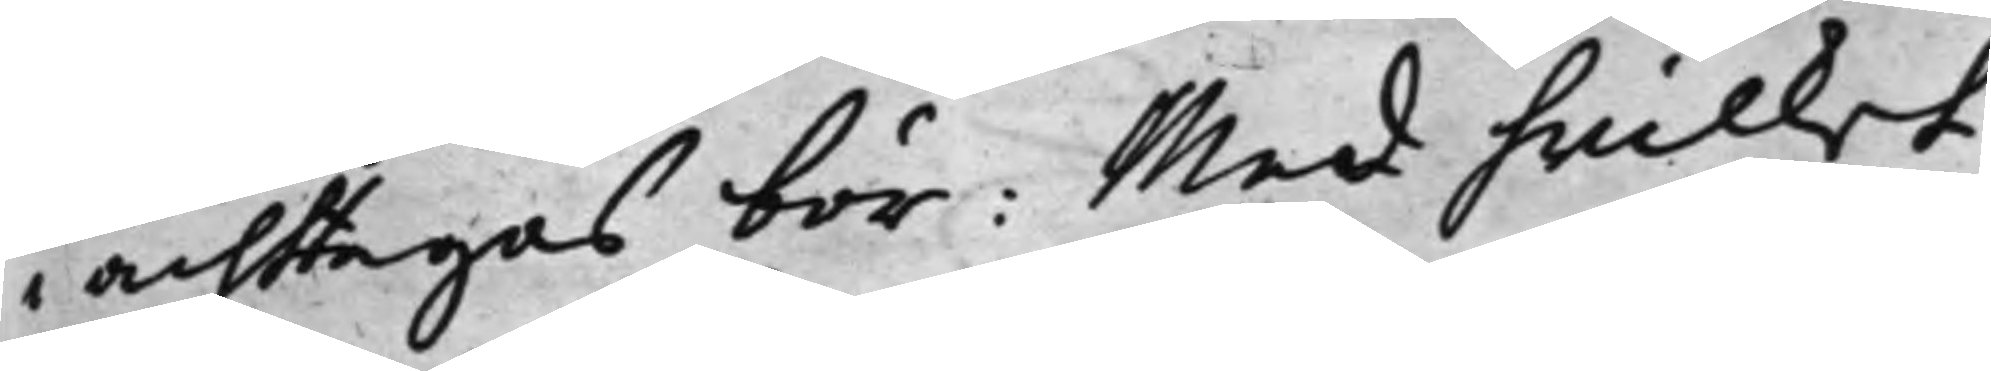i achtagas bör: Med hwilket
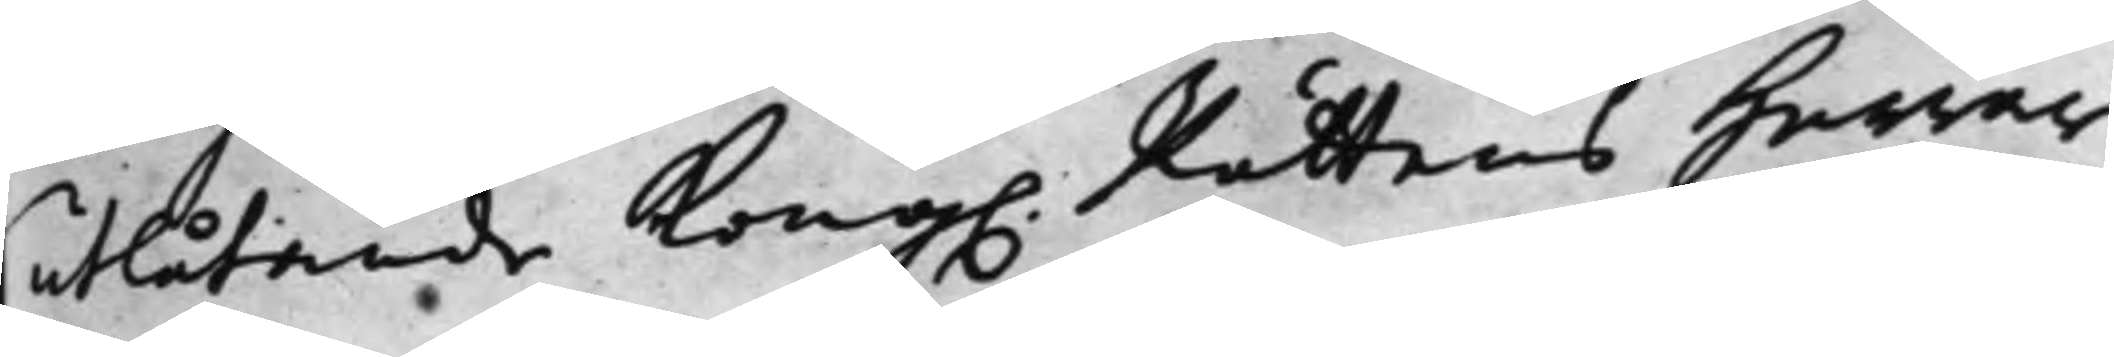utlåtande Kong. Rättens Herrar
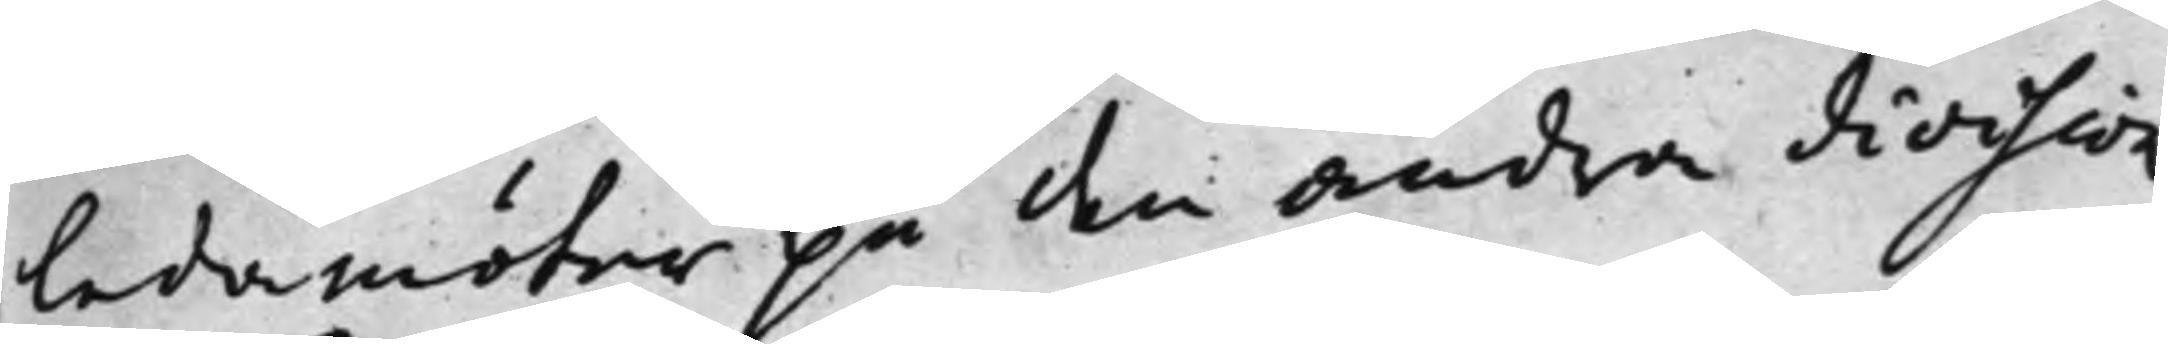ledamöter på den andra division
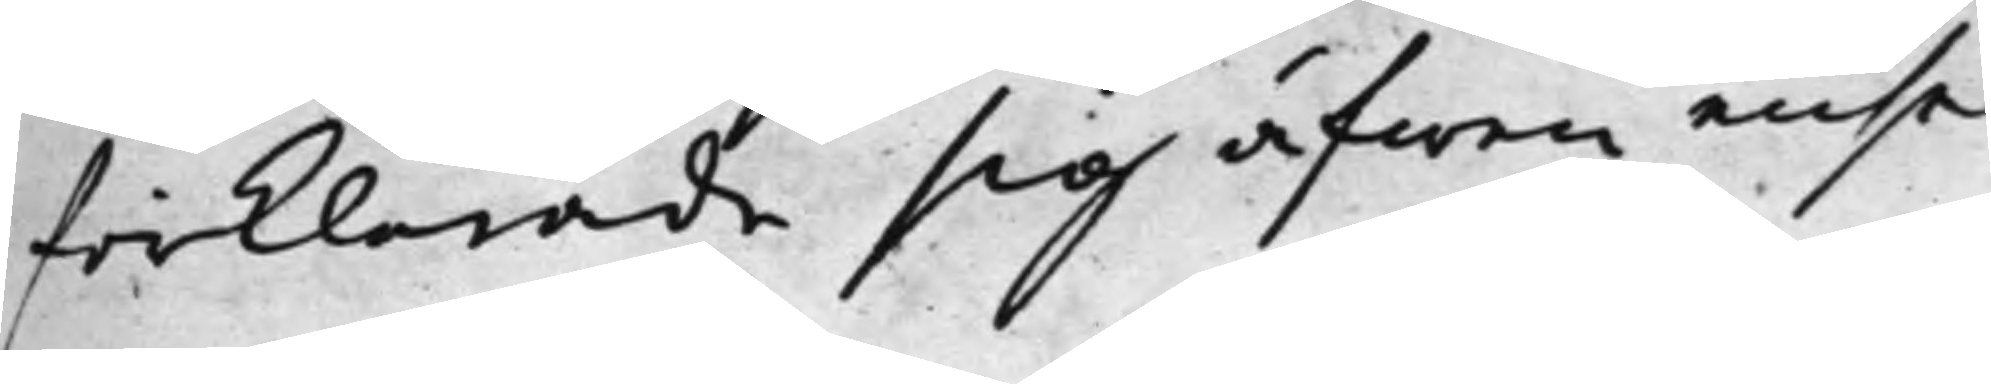förklarade sig äfwen ense
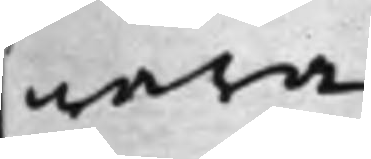wara.
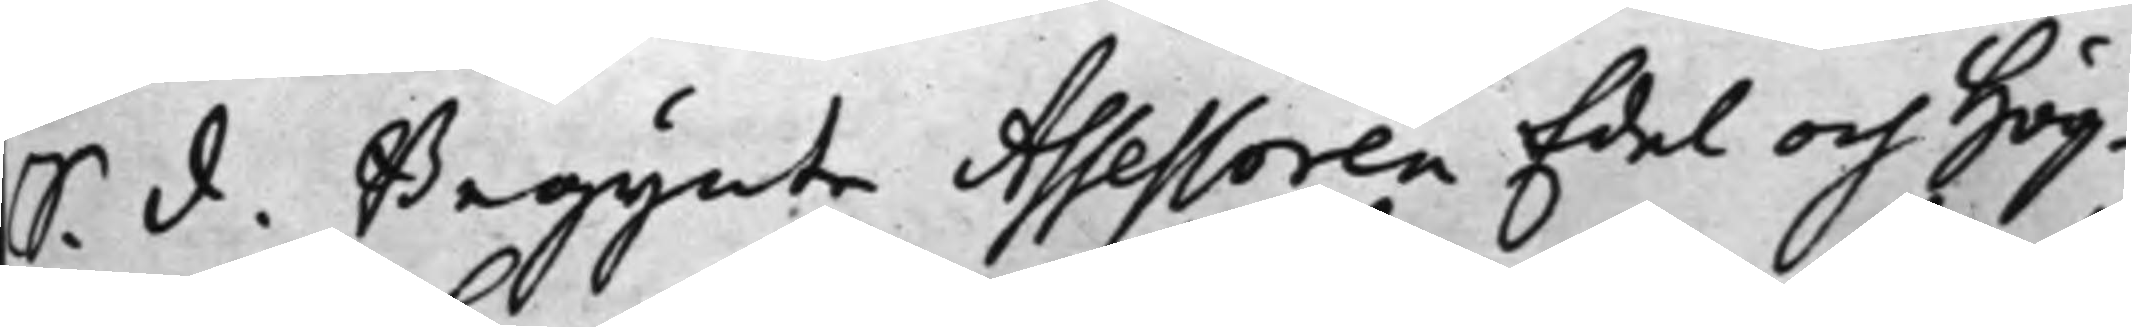S. d. Begynte Assessoren Edel och Hög¬
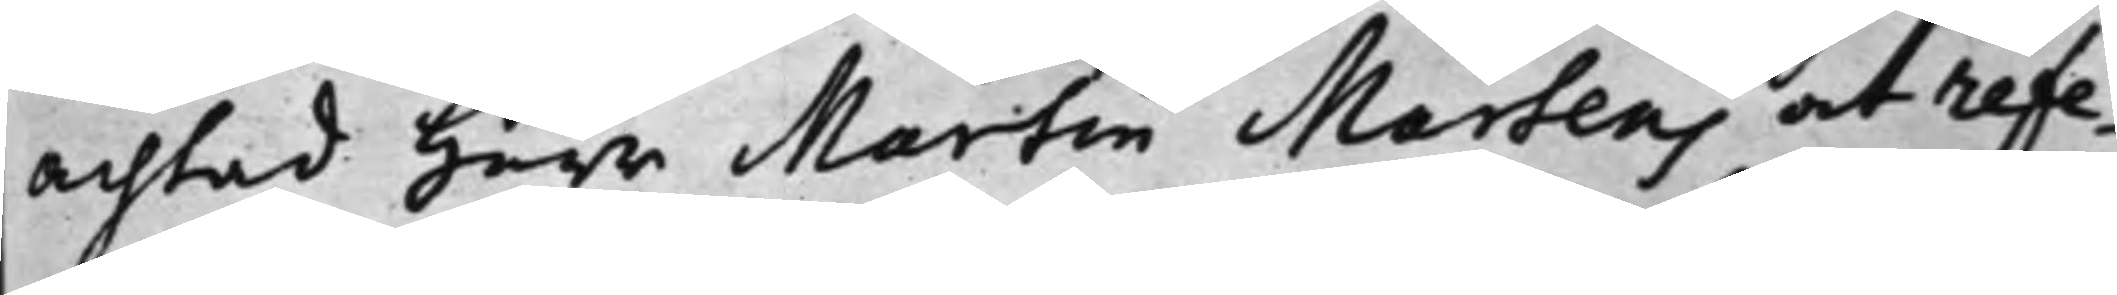achtad Herr Martin Martens at refe¬
